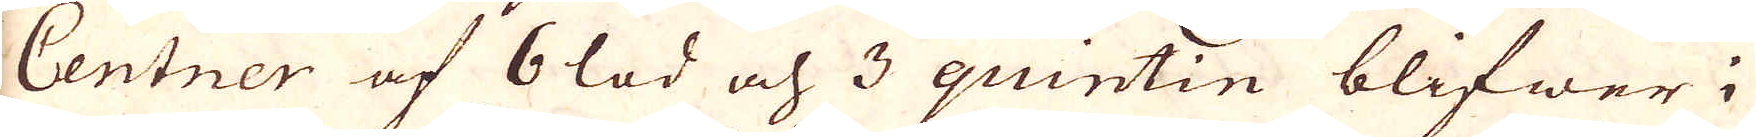Centner af 6 lod och 3 quintin blifwer i
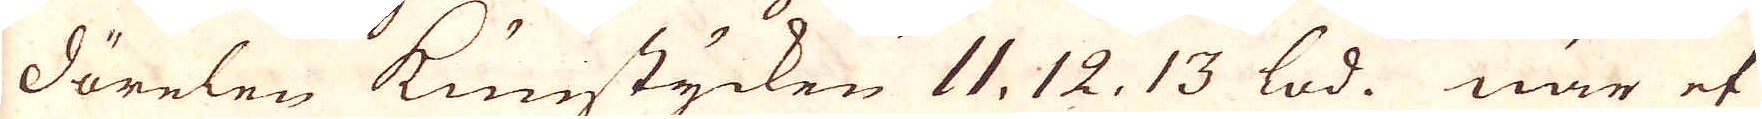dörelen kunstycken 11, 12, 13 lod. när et
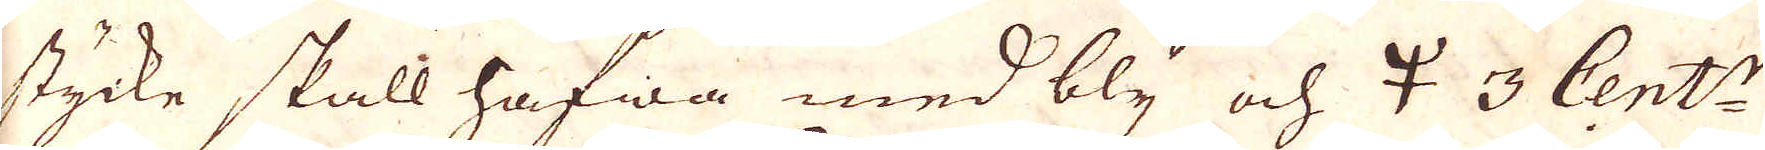stycke skall hafwa med bly och 🝁 3 Cent:r
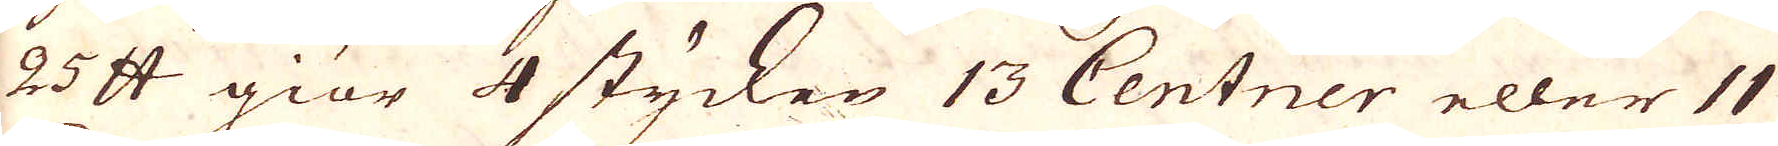25 skålpund giör 4 stycken 13 Centner eller 11
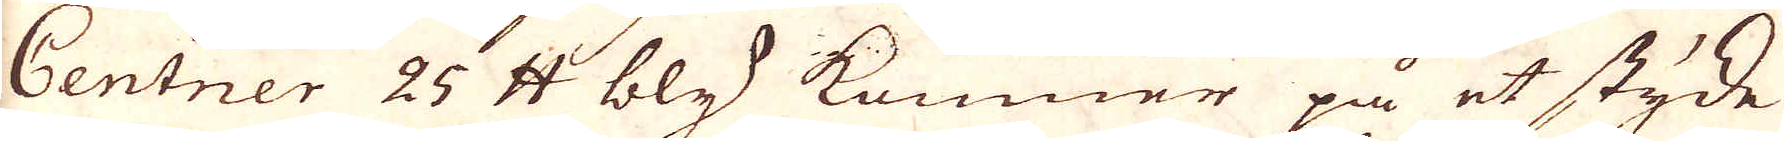Centner 25 skålpund bly kommer på et stycke
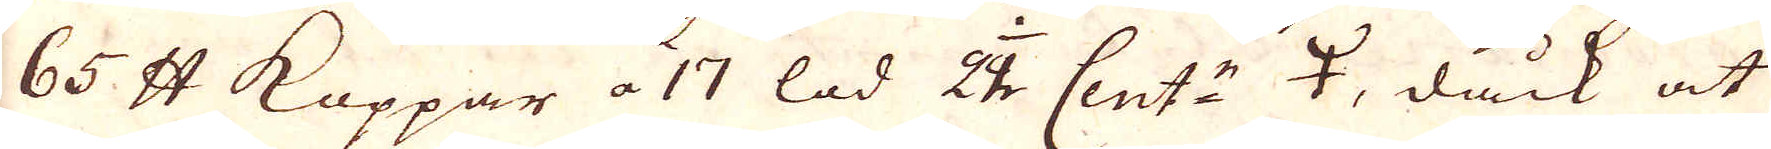65 skålpund Koppar a 17 lod 1/22 Cent:r 🝁, dåck at
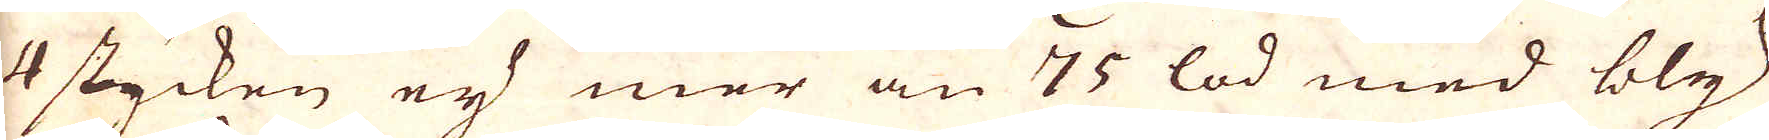4 stycken ej mer än 75 lod med bly
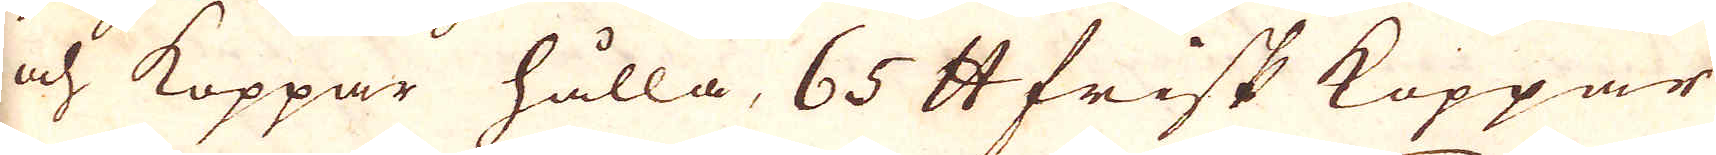och Koppar hålla, 65 skålpund frisk Koppar
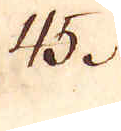45.
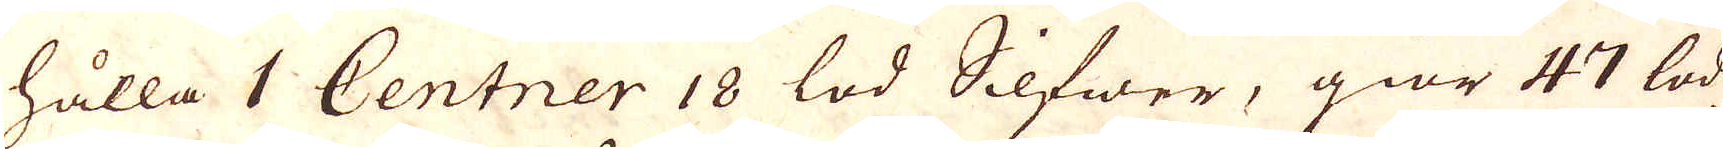hålla 1 Centner 18 lod Silfwer, giör 47 lod
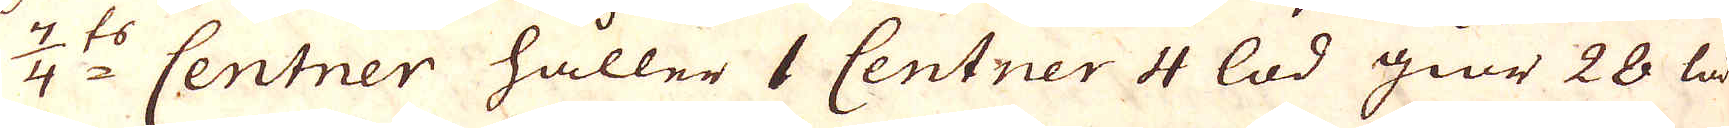7/4:ts Centner håller 1 Centner 4 lod gör 28 lod
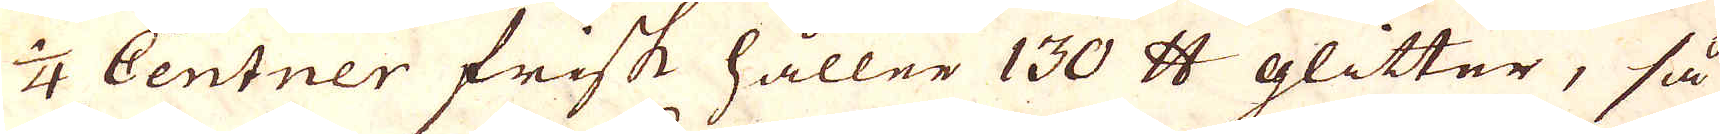1/4 Centner frisk håller 130 skålpund glitter, så
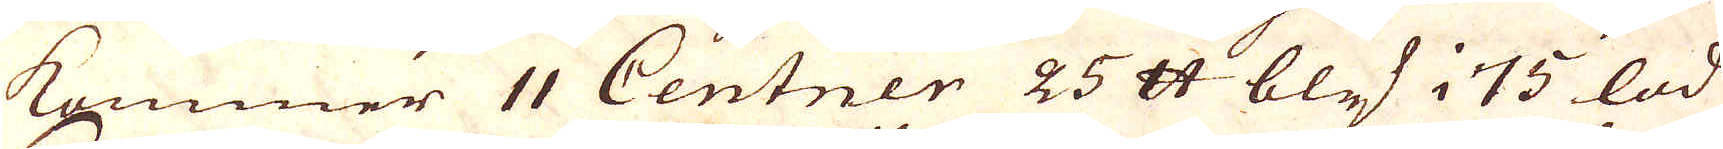kommer 11 Centner 25 skålpund bly i 75 lod
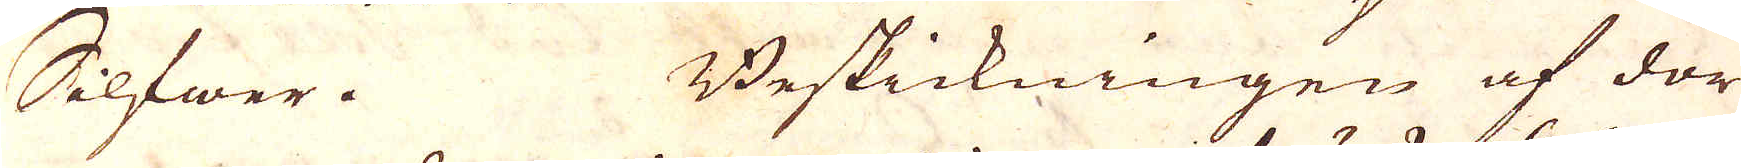Selfwer. Beskickningen af dor-
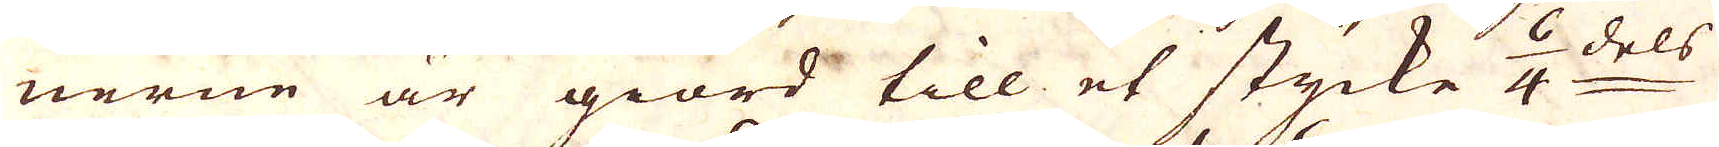nerne är giord till et stycke 6/4:dels
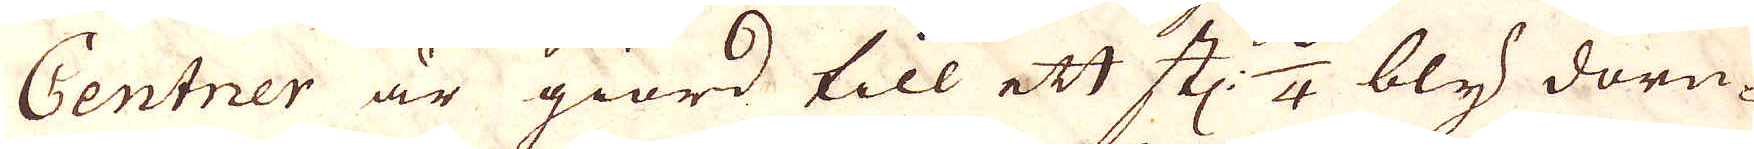Centner är giord till ett st:n 6/4 bly dorn-
